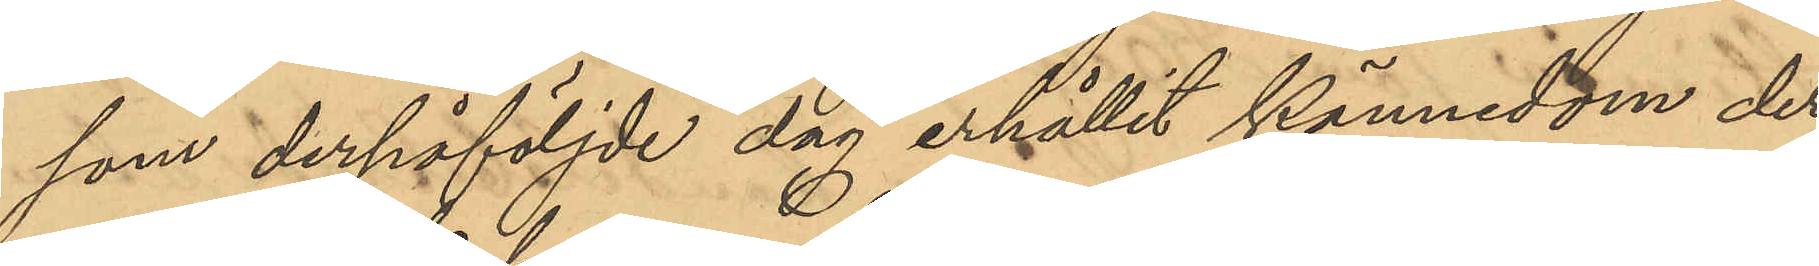som derpåföljde dag erhållit kännedom der¬
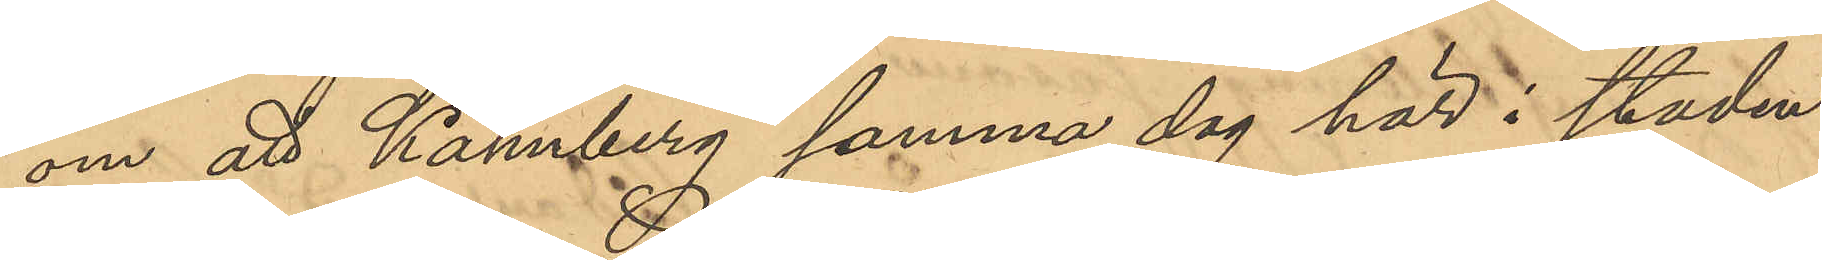om att Kahnberg samma dag här i staden
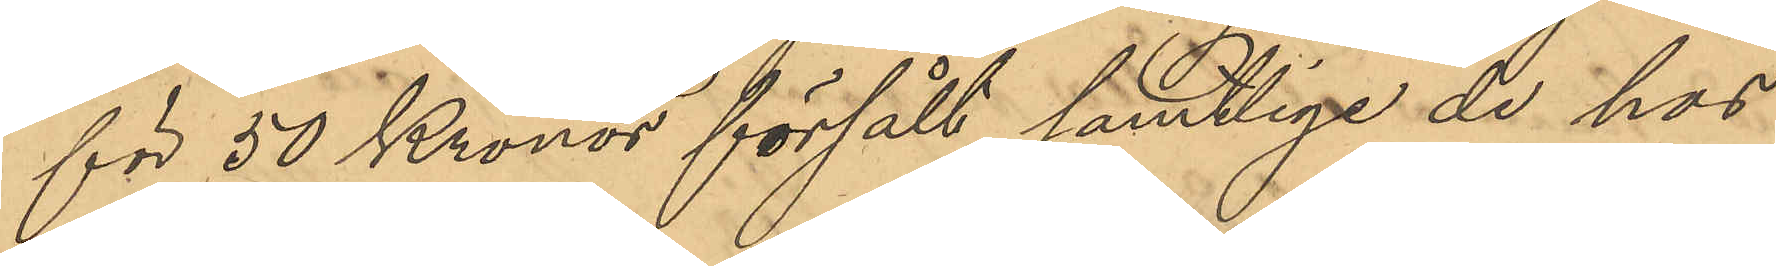för 50 Kronor försålt samtlige de hos
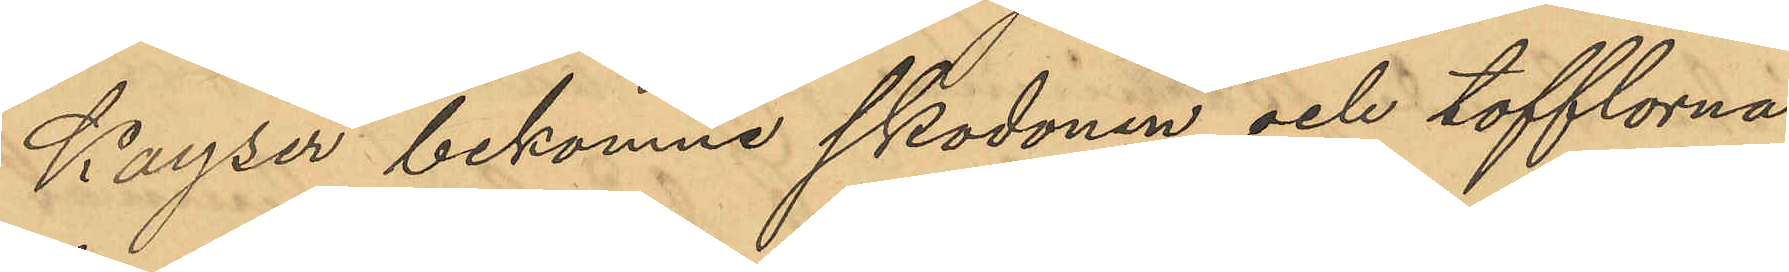Kayser bekomne skodonen och tofflorna
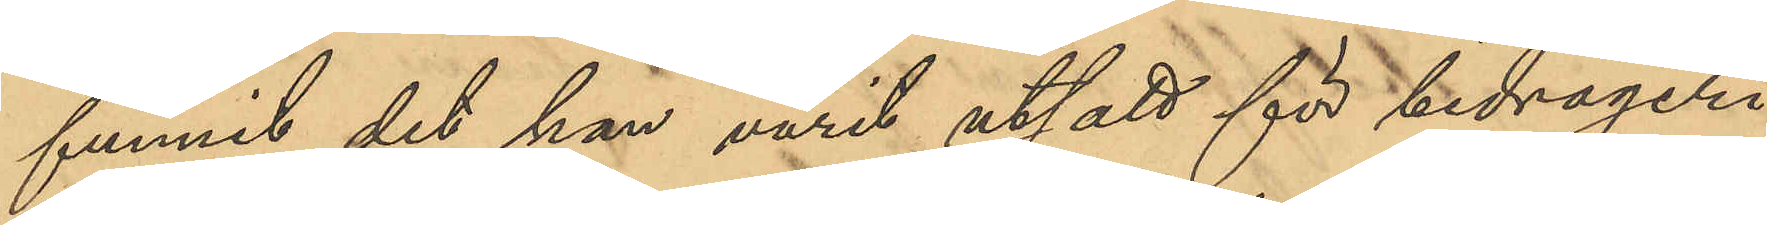funnit det han varit utsatt för bedrägeri
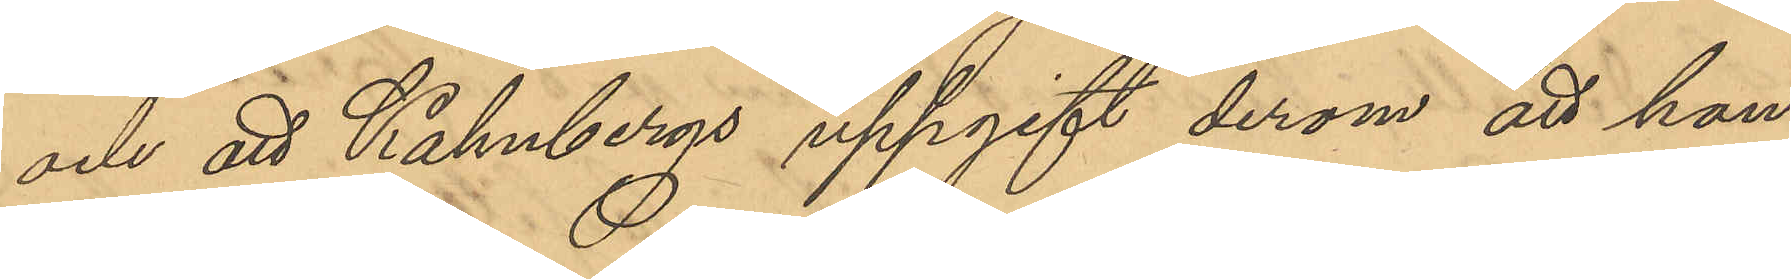och att Kahnbergs uppgift derom att han
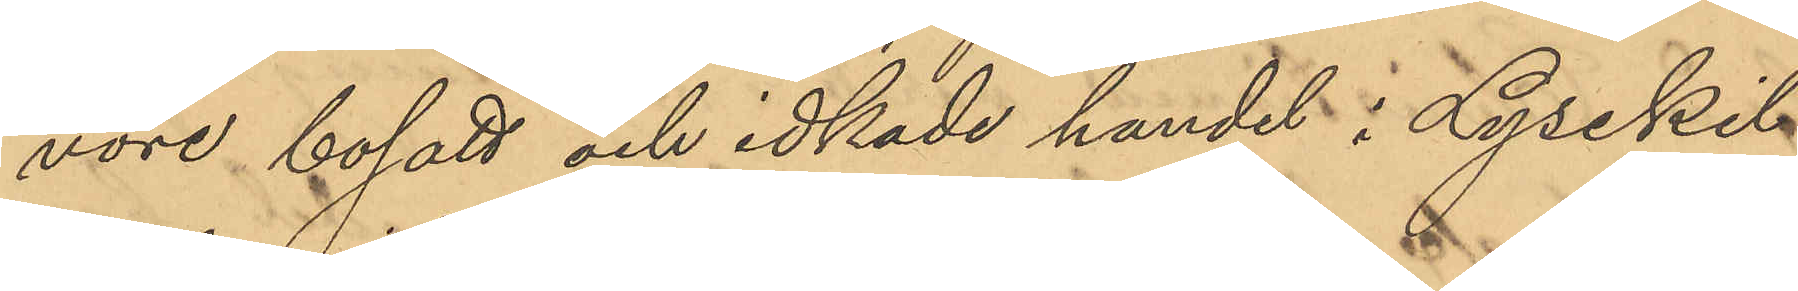vore bosatt och idkade handel i Lysekil
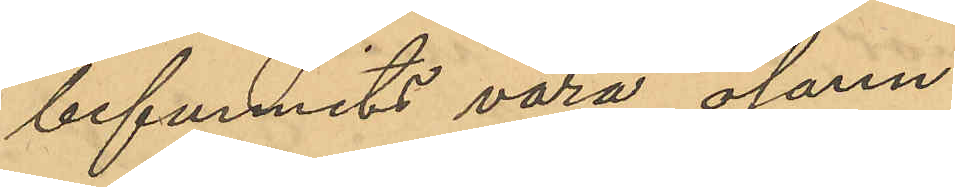befunnits vara osann.
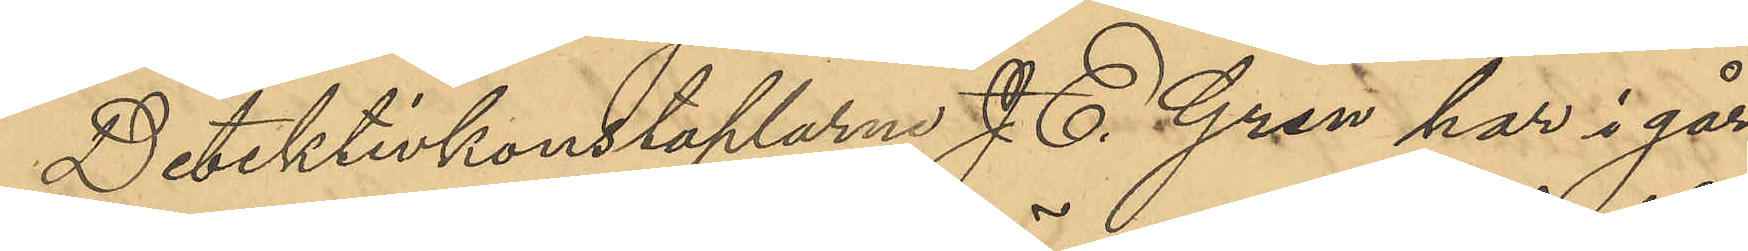Detektivkonstaplarne J. E. Gran har i går
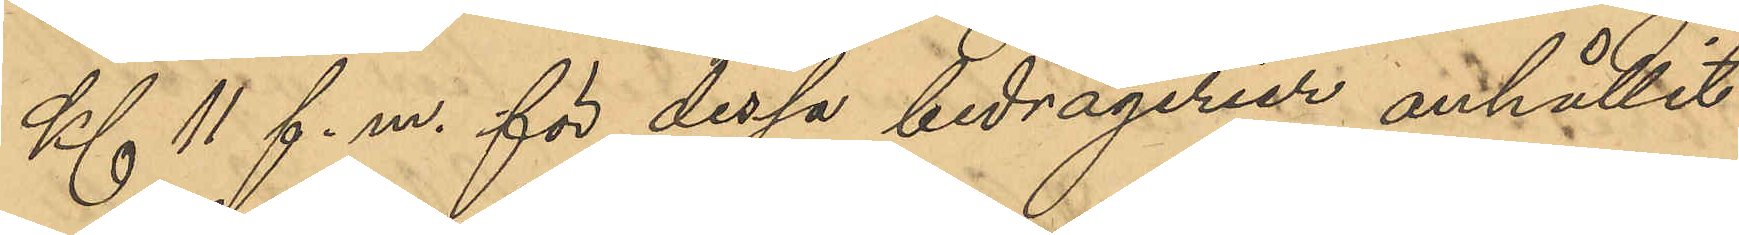Kl 11 f. m. för dessa bedrägerier anhållit
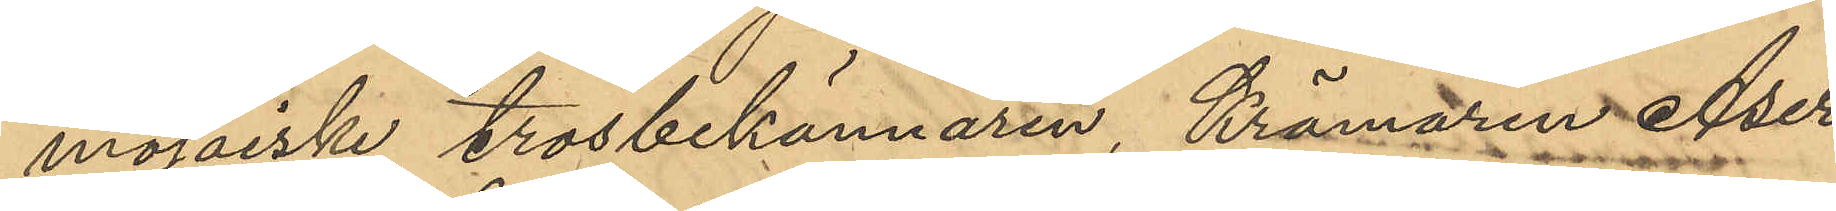mosaiske trosbekännaren, Krämaren Aser
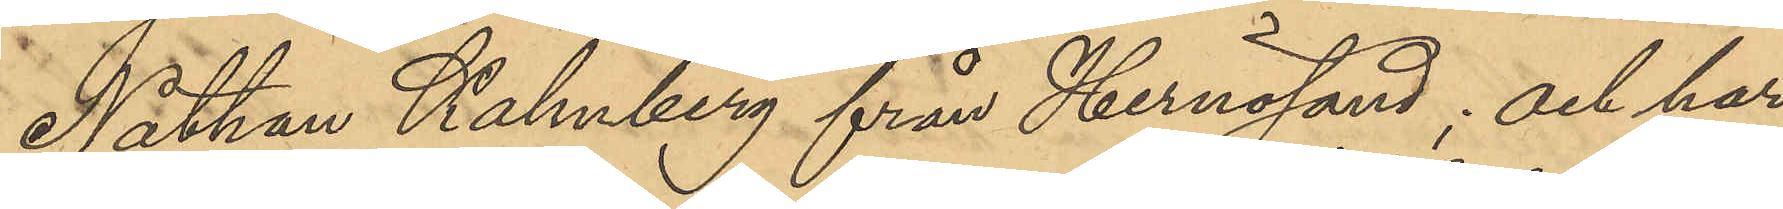Nathan Kahnberg från Hernösand; och har
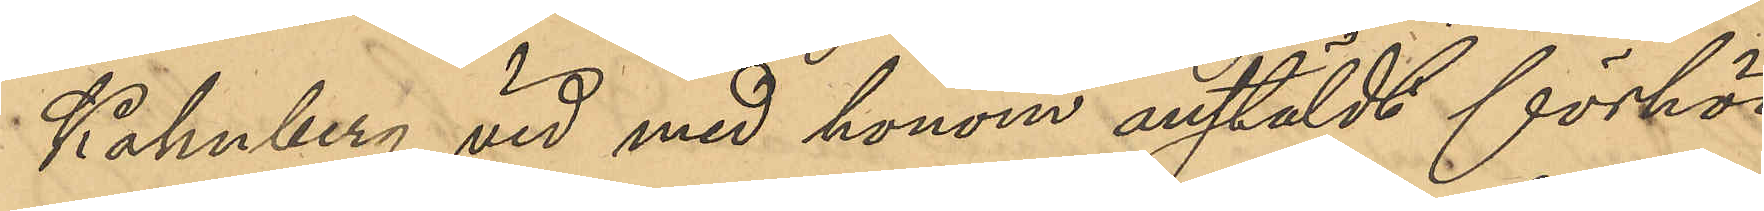Kahnberg vid med honom anstäldt förhör
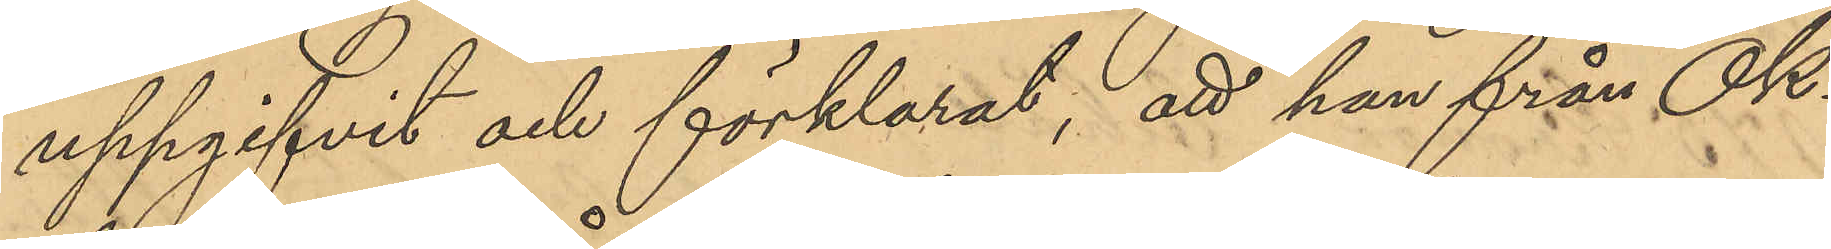uppgifvit och förklarat; att han från Ok¬
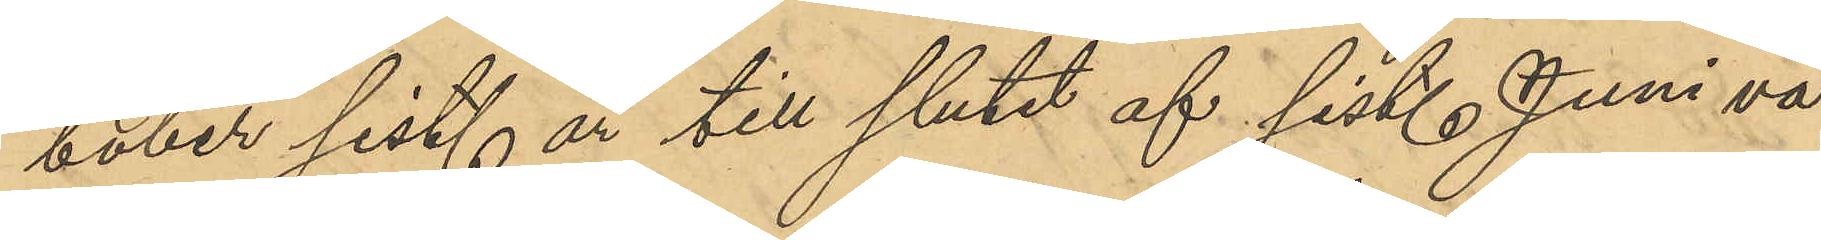tober sist. år till slutet af sist. Juni va¬
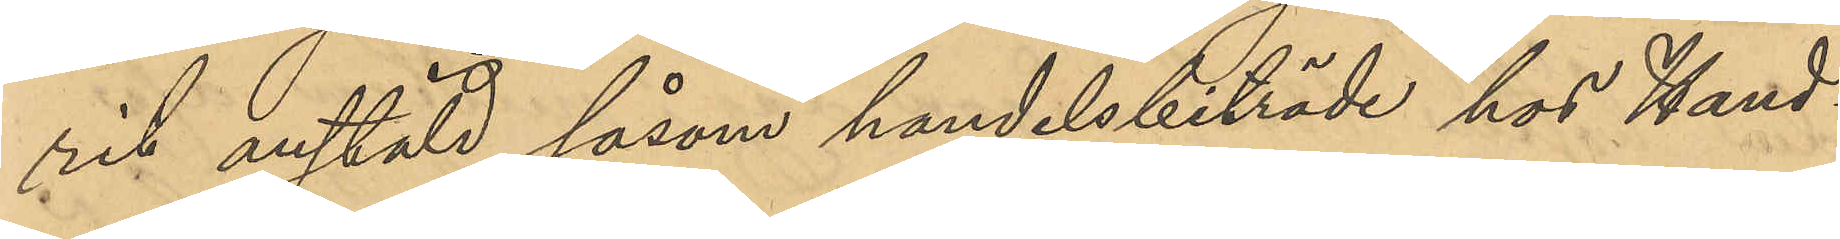rit anstäld såsom handelsbiträde hos Hand¬
